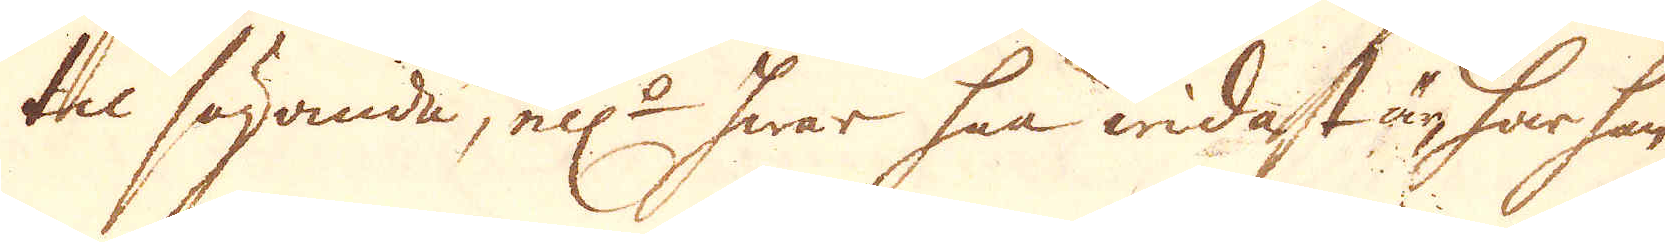til sägande, el:r hwar han widast är, har han
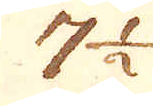7 1/2
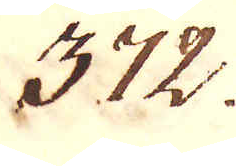372.
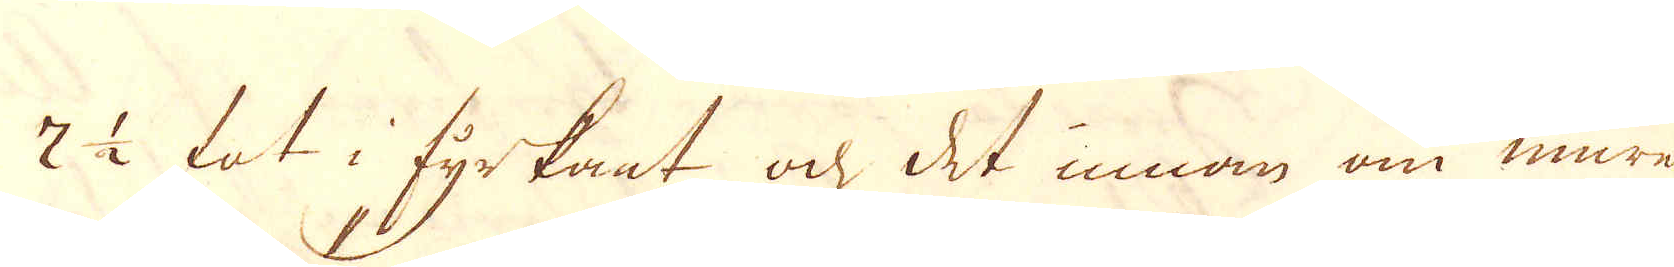7 1/2 fot i fyrkant och det innan om muren
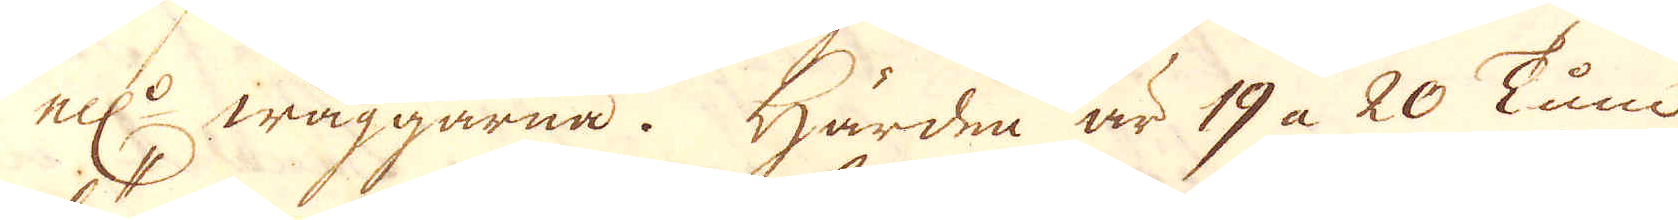ell:r wäggarna. Härden är 19 à 20 Tum
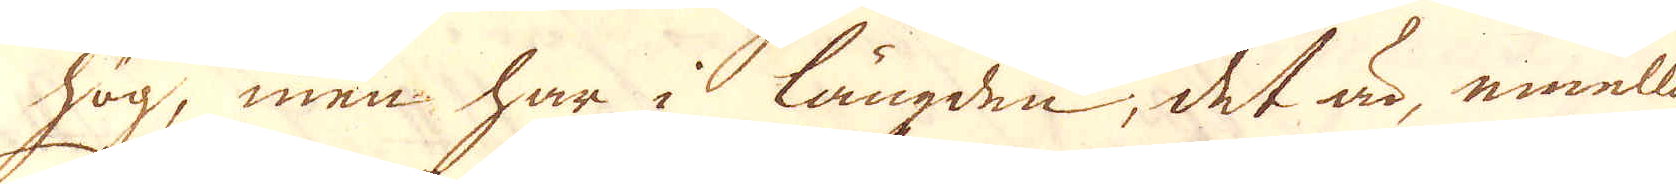hög, men har i längden, det är, emellan
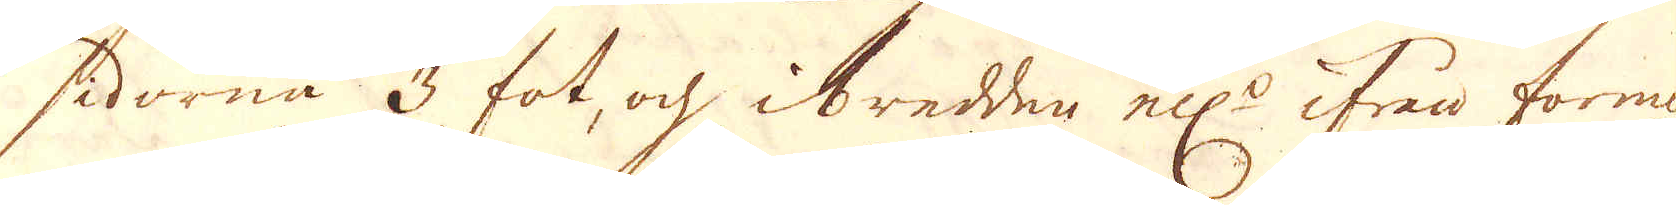sidorna 3 fot, och i bredden el:r ifrån forman
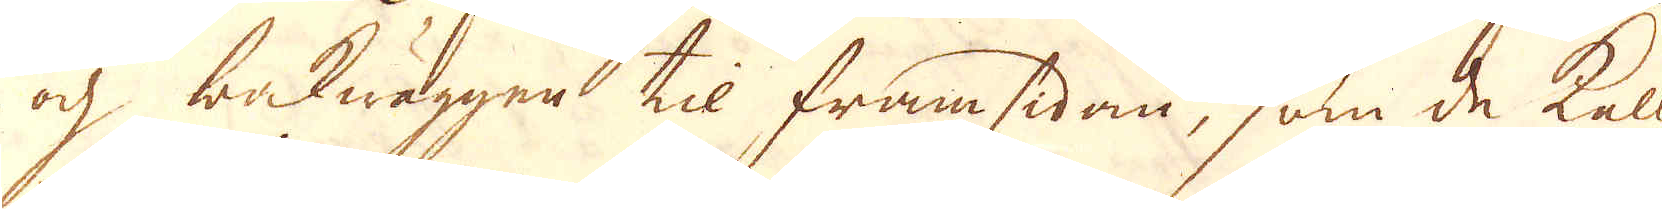och bakwäggen til framsidan, som de kalla
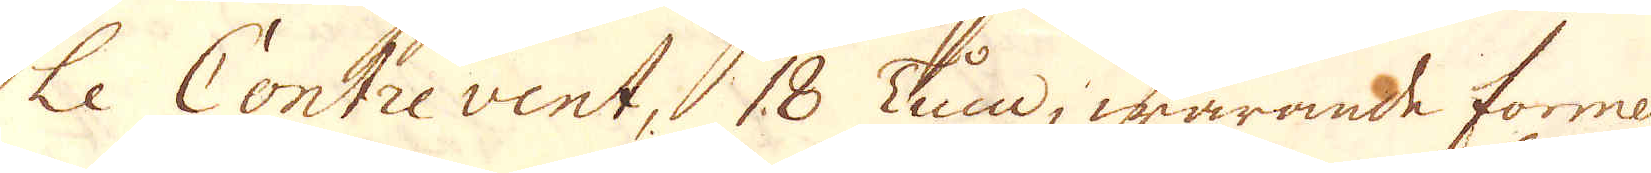le Contre vent, 18 Tum, warande formen
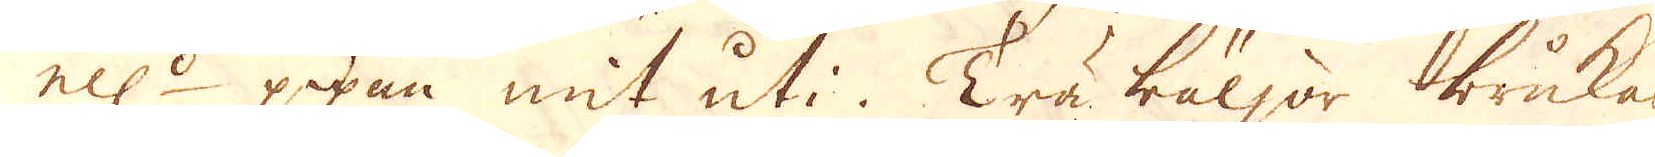ell:r pipan mit uti. Träbäljor brukas
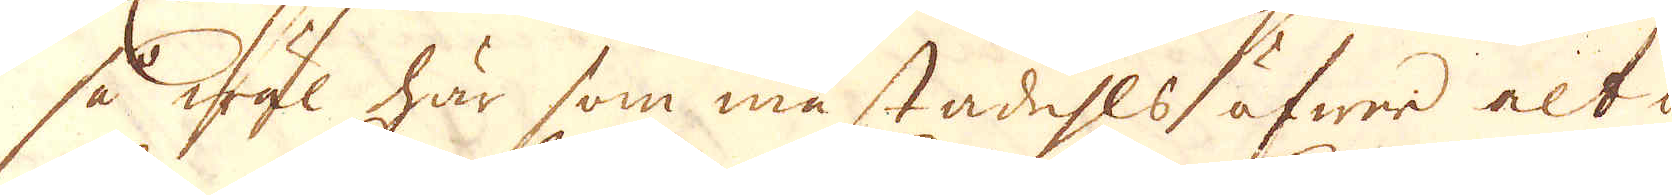så wäl här som mästadehls, öfwer alt i
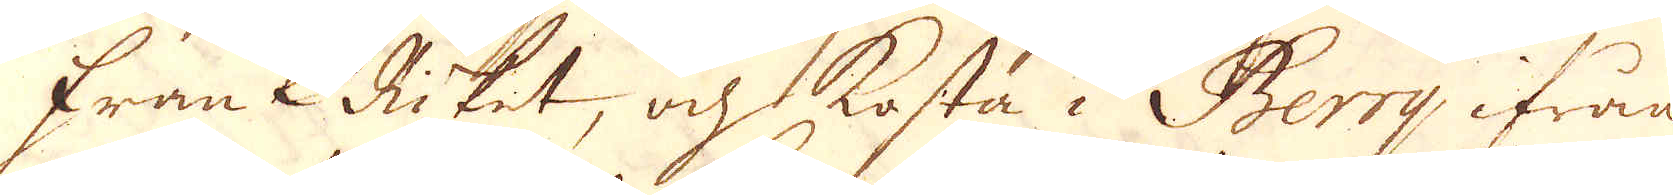FrankRiket, och kosta i Berry ifrån
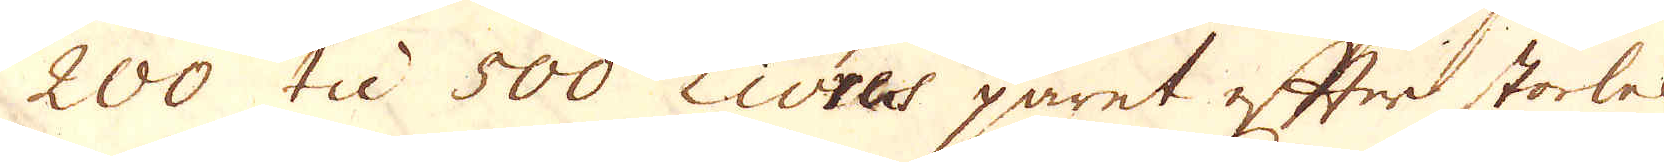200 til 500 Livres paret efter storlek.
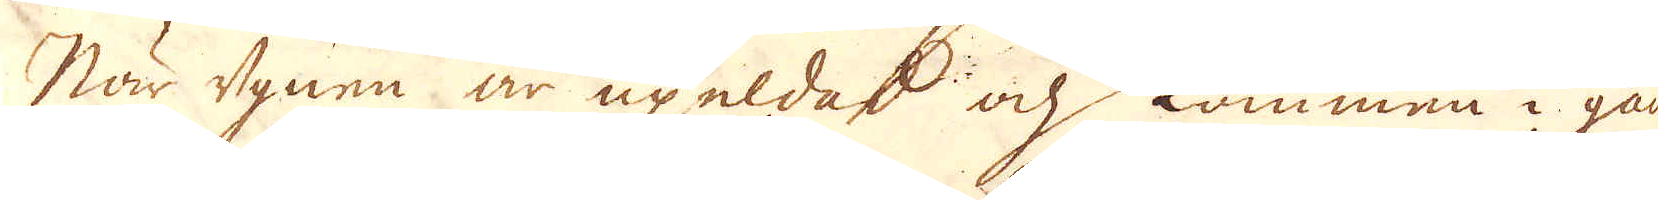När ugnen är upeldad och kommen i gång
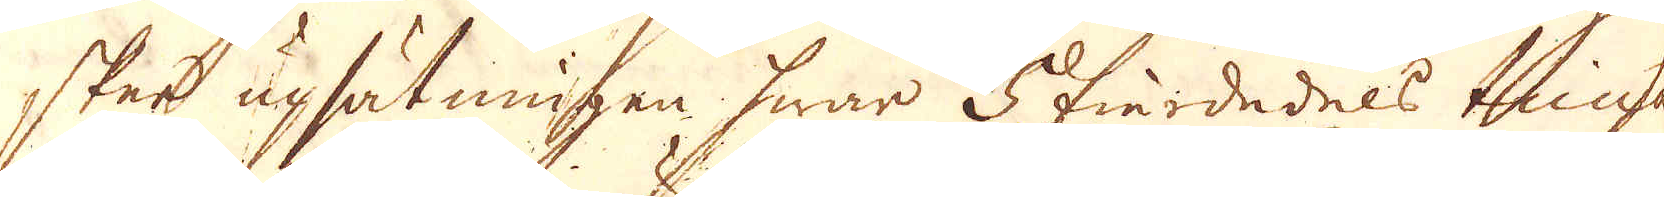sker upsätningen hwar 5 fiardedels tima
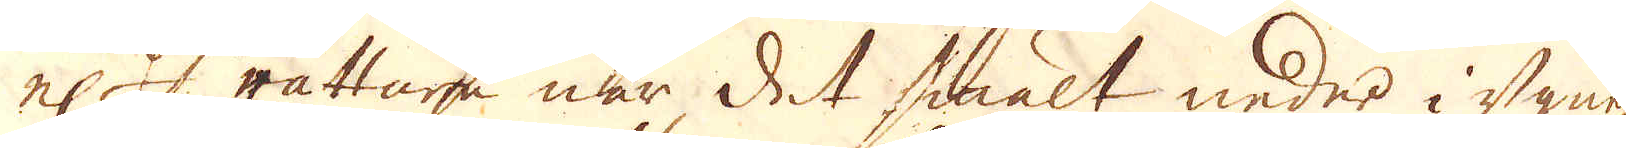el:r rättare när det smält neder i ugnen
